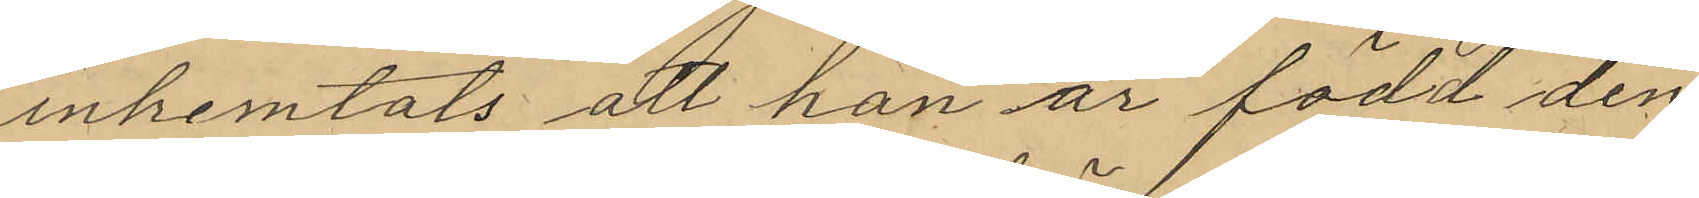inhemtats att han är född den
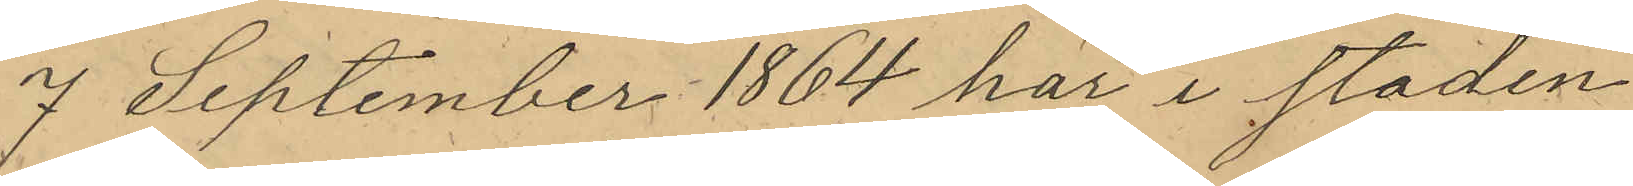7 September 1864 här i staden
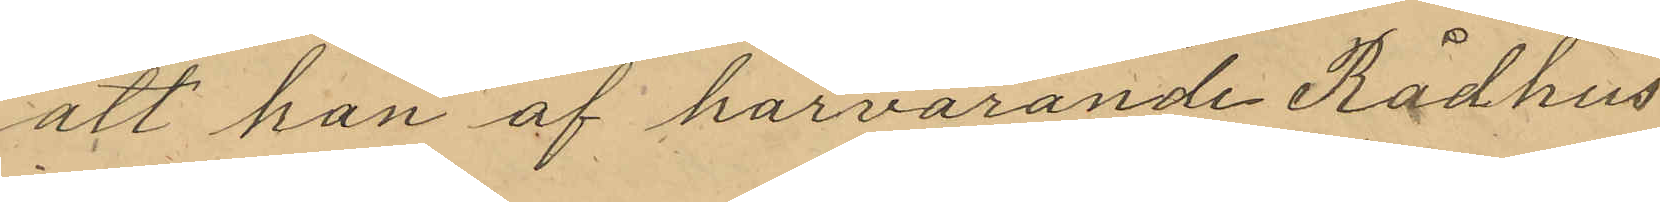att han af härvarande Rådhus
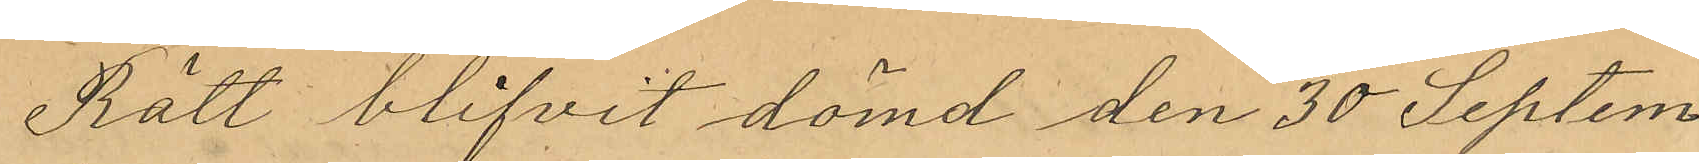Rätt blifvit dömd den 30 Septem¬
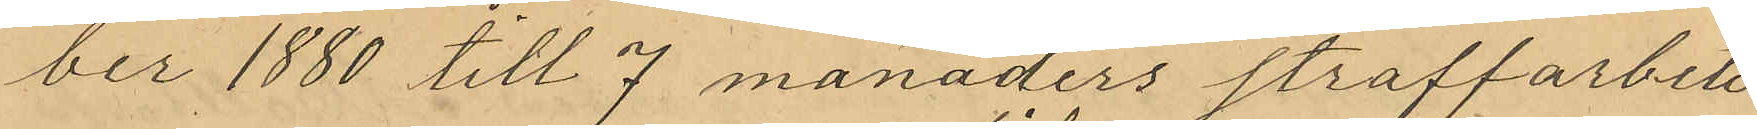ber 1880 till 7 manaders straffarbete
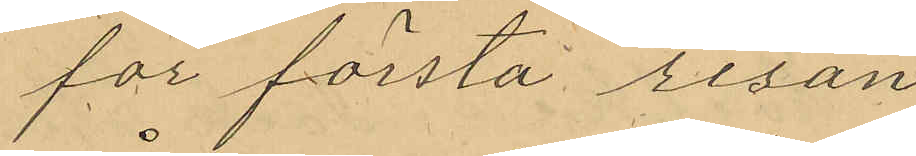för första resan
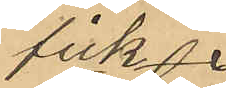fick¬
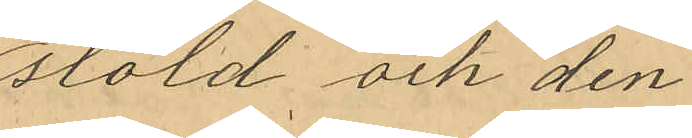stöld och den
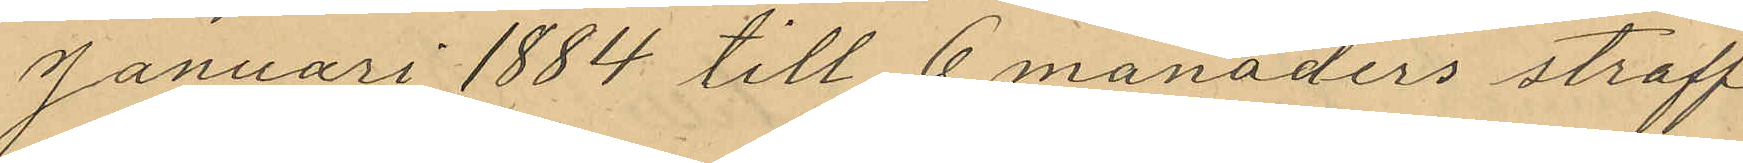Januari 1884 till 6 manaders straff¬
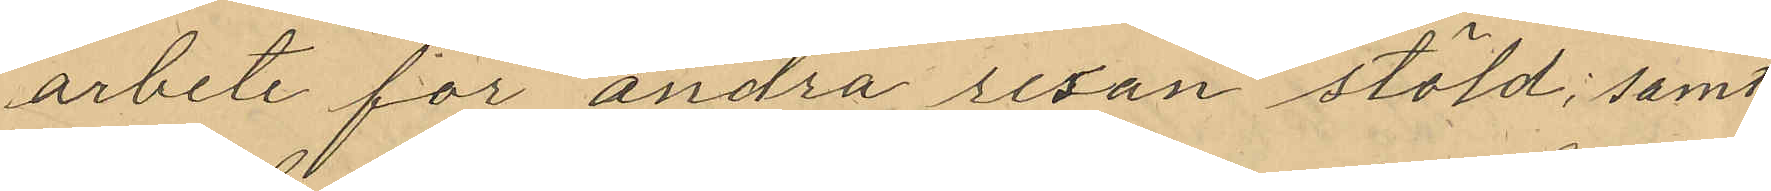arbete för andra resan stöld; samt
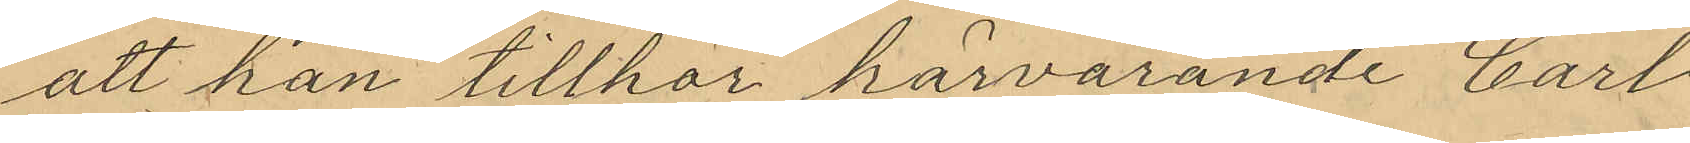att han tillhör härvarande Carl
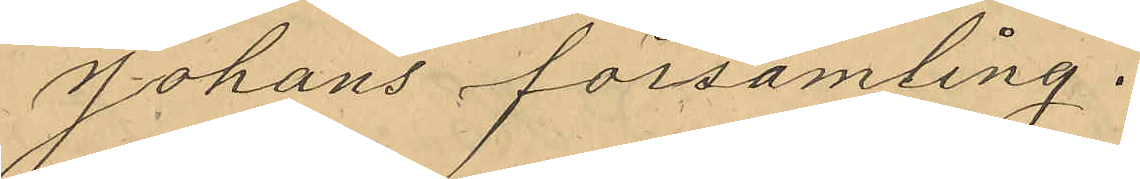Johans församling.
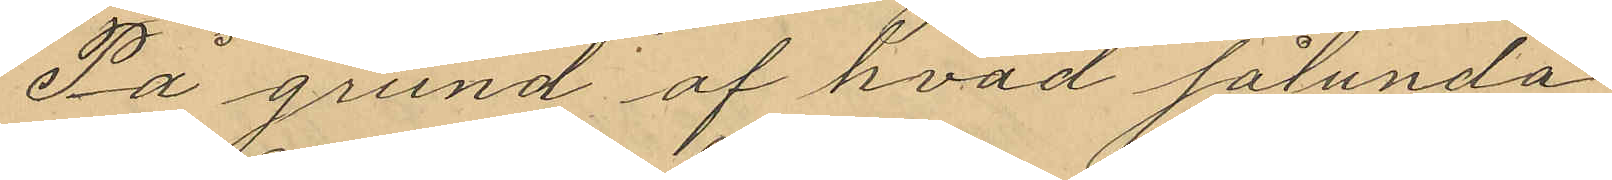På grund af hvad sålunda
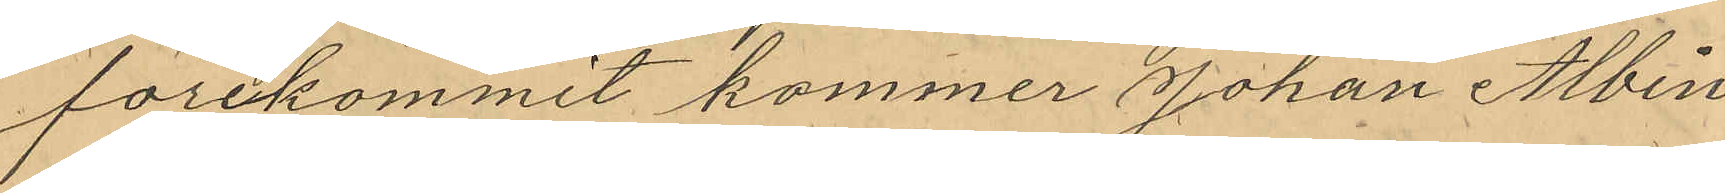förekommit kommer Johan Albin
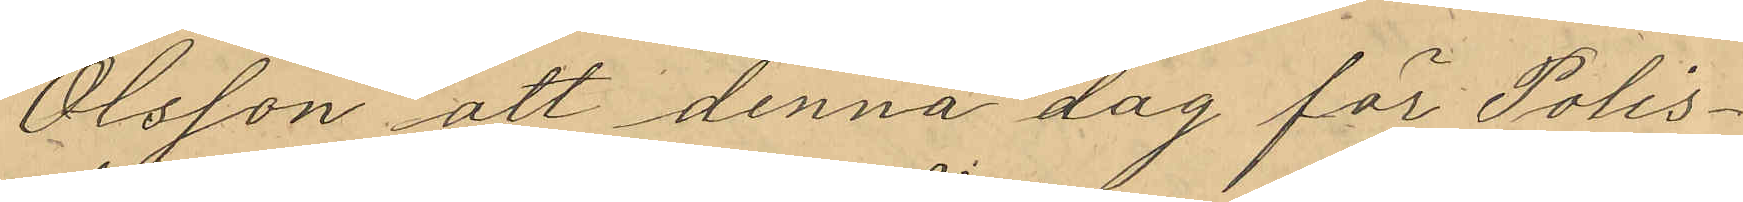Olsson att denna dag för Polis¬
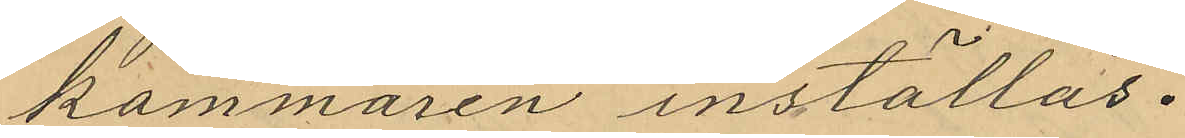kammaren inställas.
